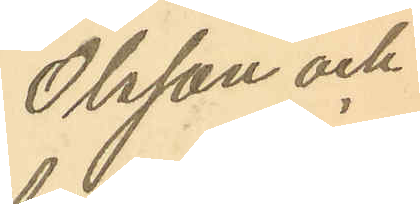Olsson och
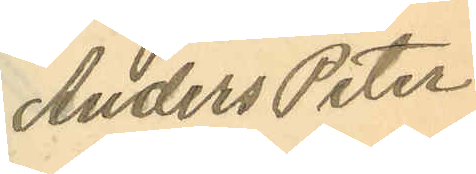Anders Peter
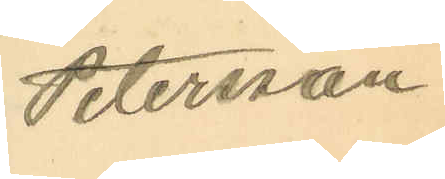Petersson.
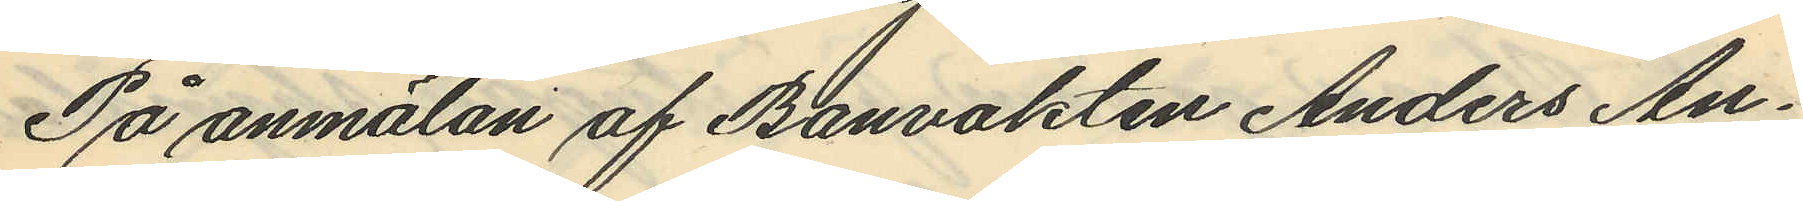På anmälan af Banvakten Anders An¬
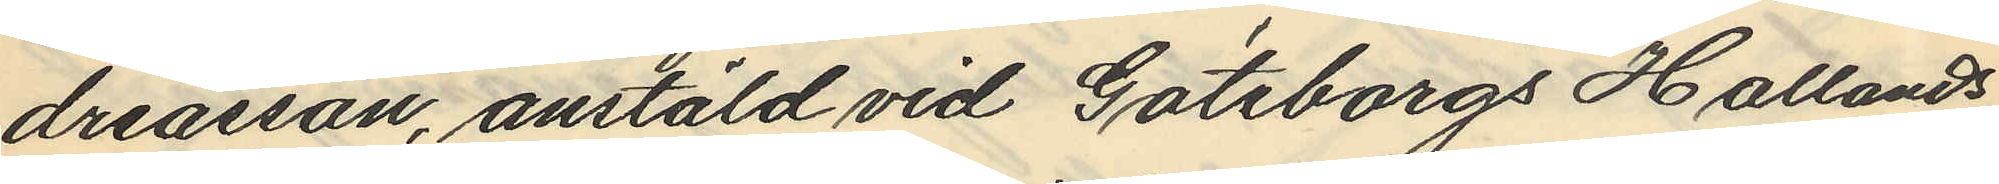dreasson, anstäld vid Göteborgs Hallands
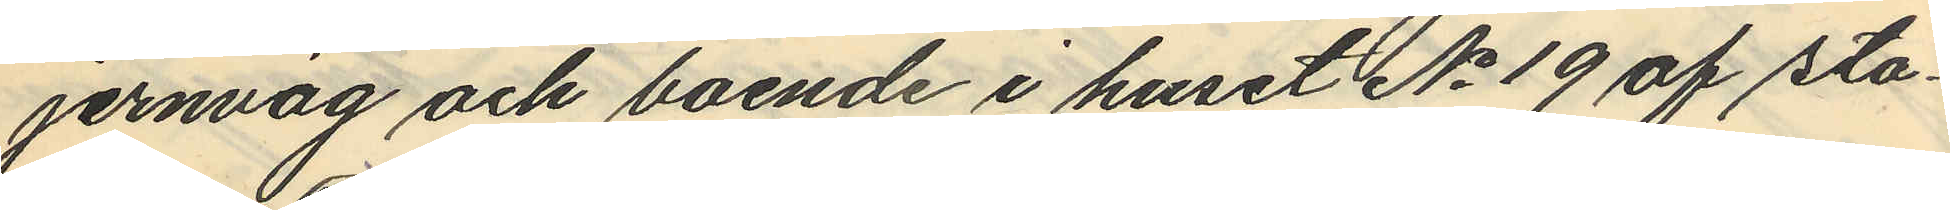jernväg och boende i huset No 19 af sta¬
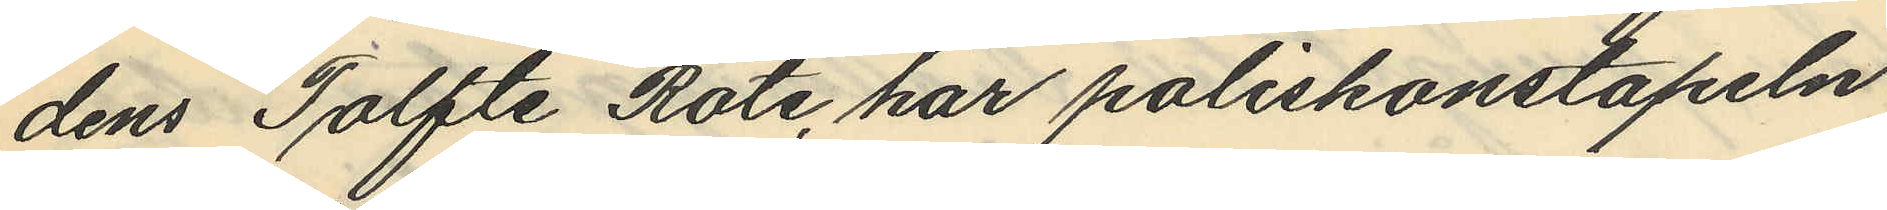dens Tolfte Rote, har poliskonstapeln
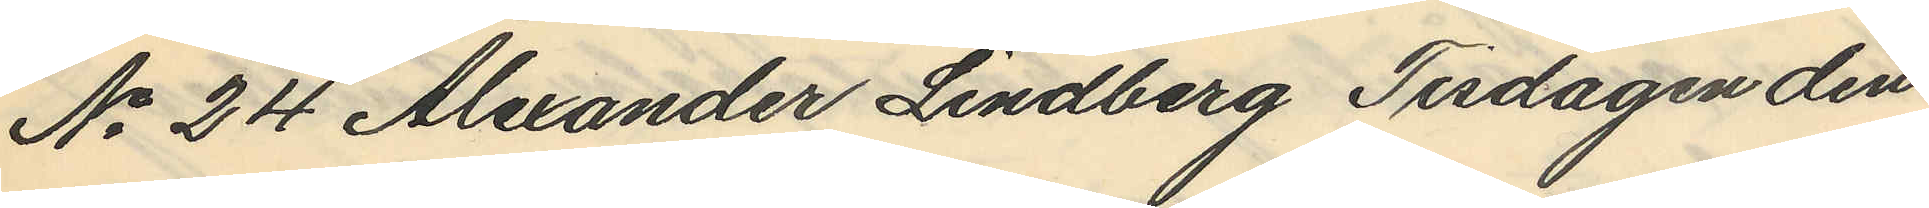No 24 Alexander Lindberg Tisdagen den
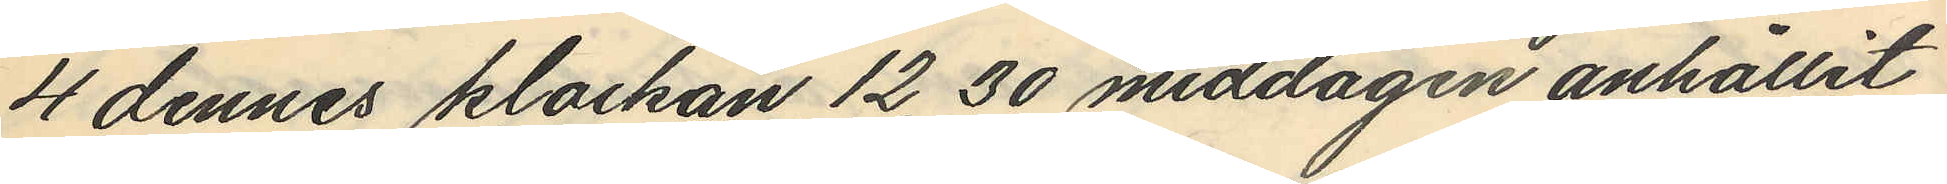4 dennes klockan 12,30 middagen anhållit
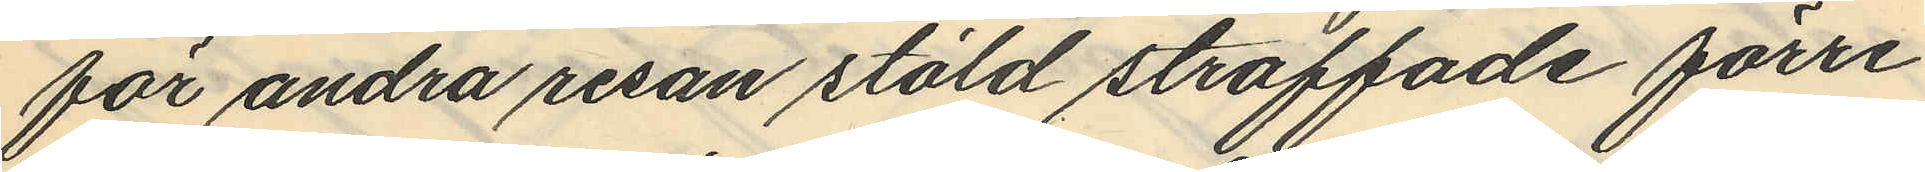för andra resan stöld straffade förre
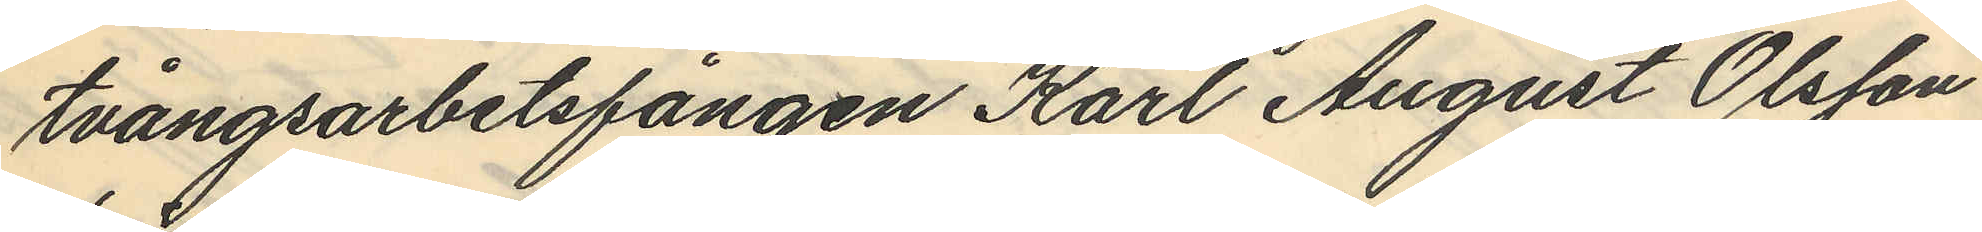tvångsarbetsfången Karl August Olsson
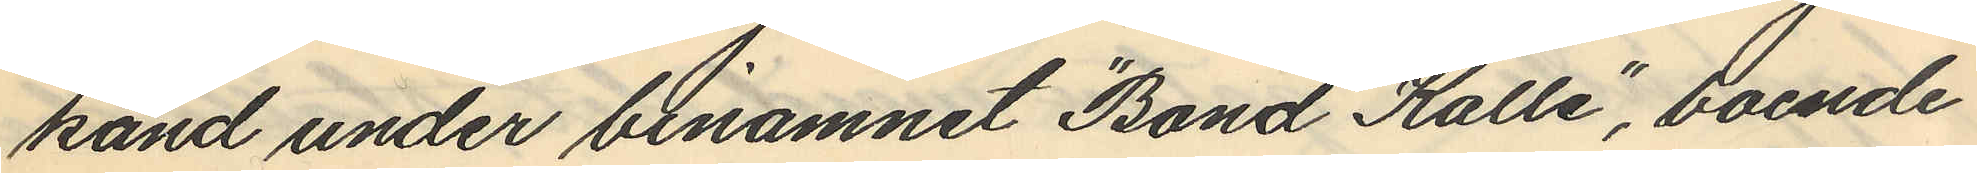känd under binamnet "Bond Kalle", boende
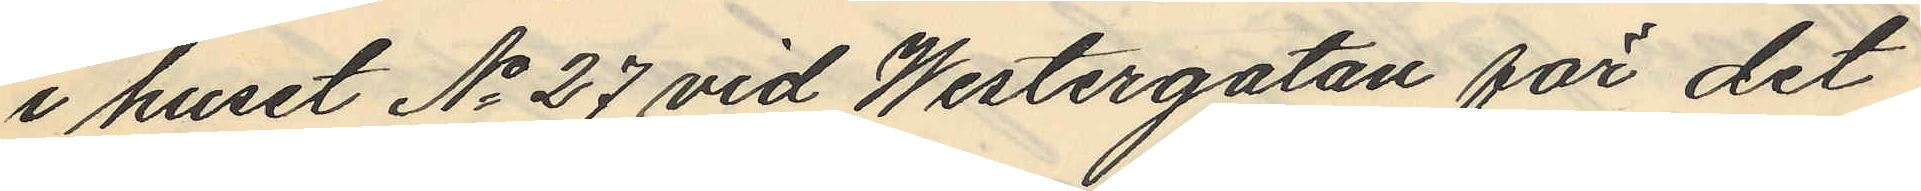i huset No 27 vid Westergatan för det
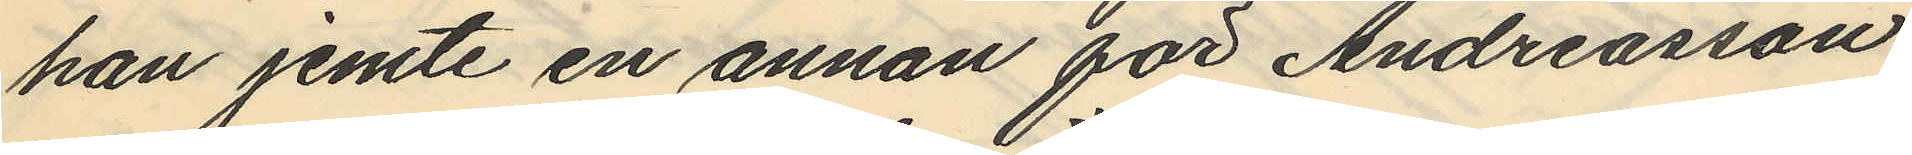han jemte en annan för Andreasson
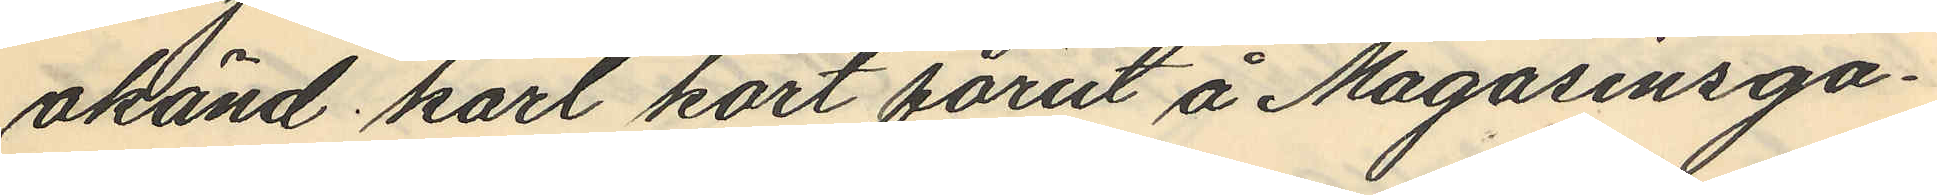okänd karl kort förut å Magasinsga¬
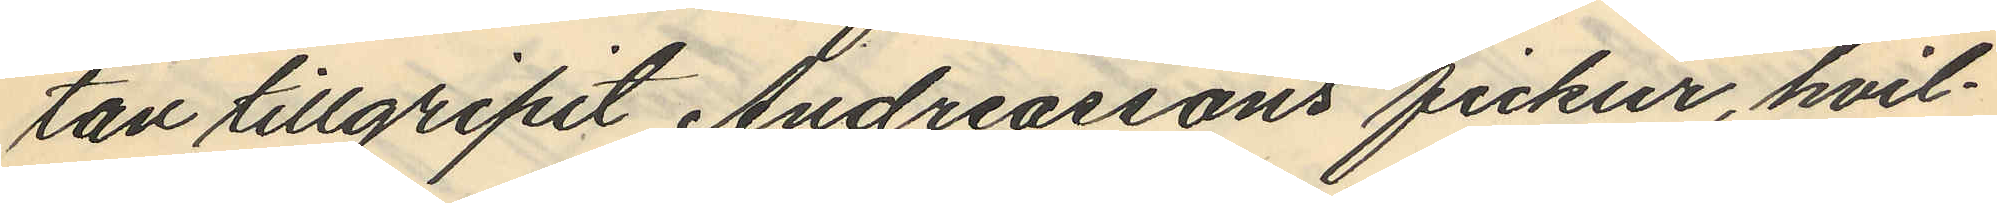tan tillgripit Andreassons fickur, hvil¬
